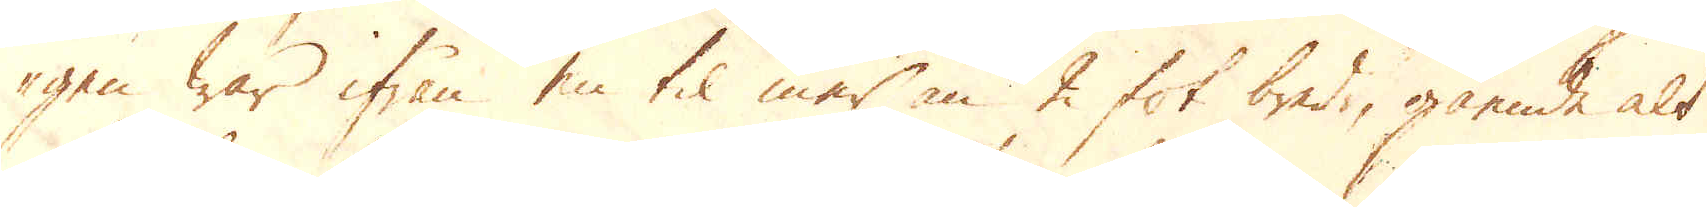gen war ifrån en til mer än 2 fot bredt, gående alt
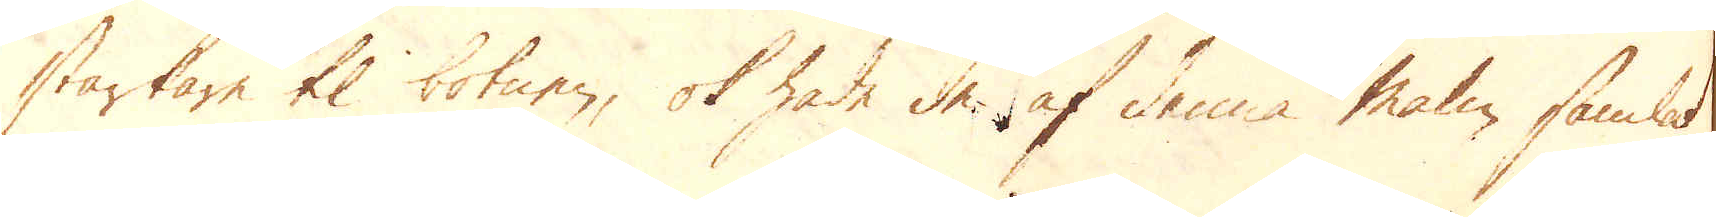starkare til botnen, ok hade de af denna malm samlat
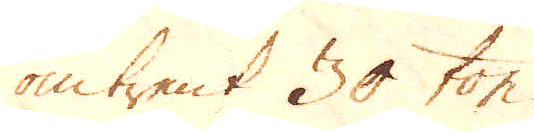omtrent 30 ton.
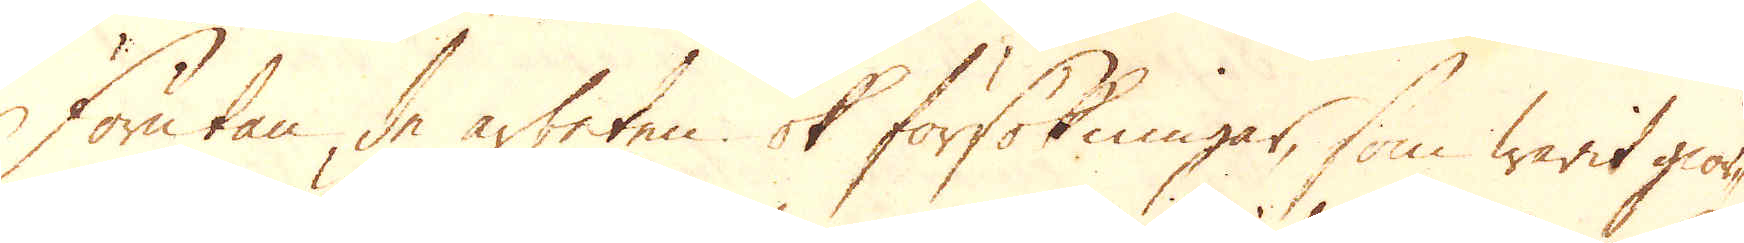Förutan de arbeten ok försökningar, som warit gior-
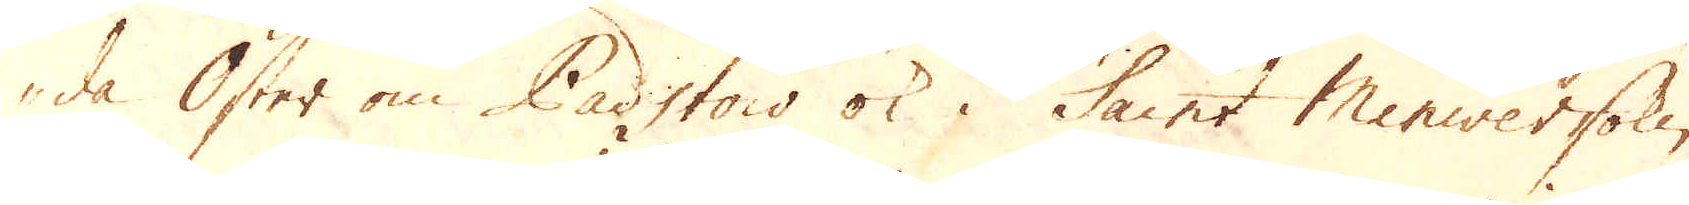de Öster om Padstow ok i Saint Miniversoke-
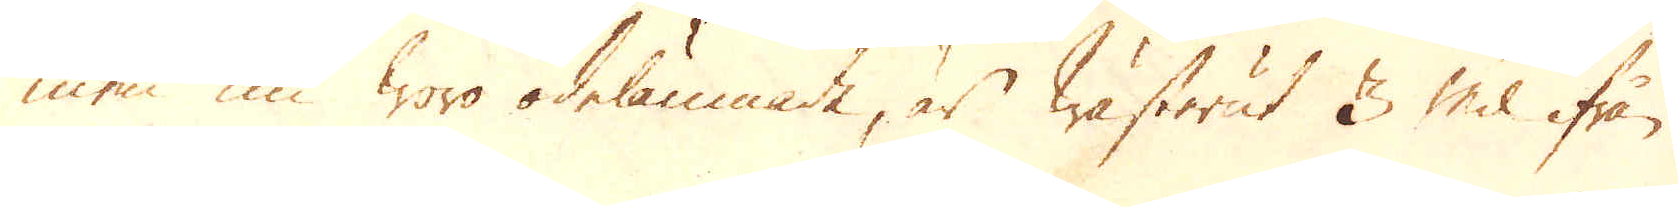nen nu woro ödelämnade, är wästerut 3 Mil ifrån
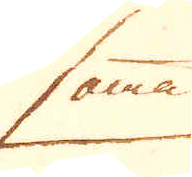samma
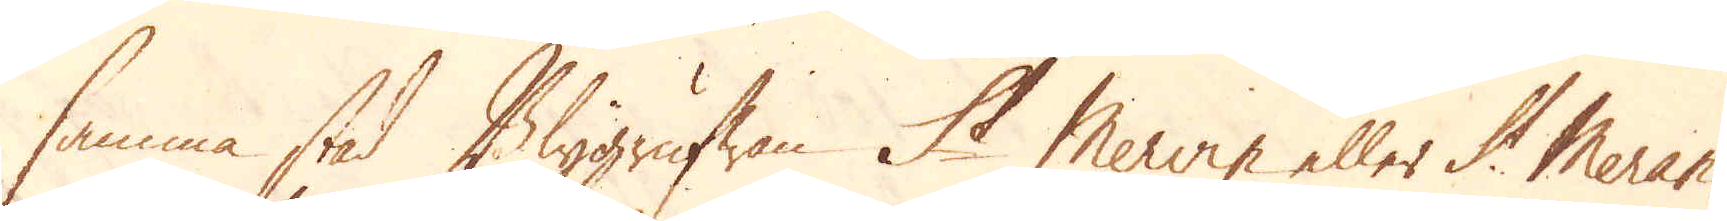samma stad Blygrufwan St Merrin eller St Meran-
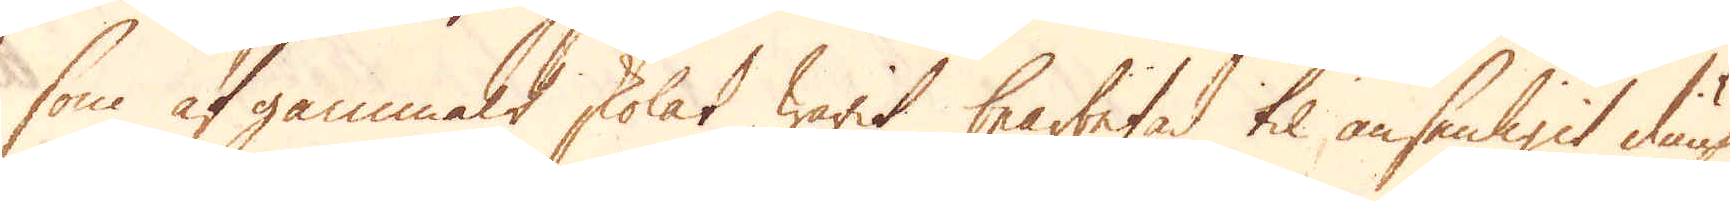sow af gammalt skolat warit bearbetad til ansenligit diup,
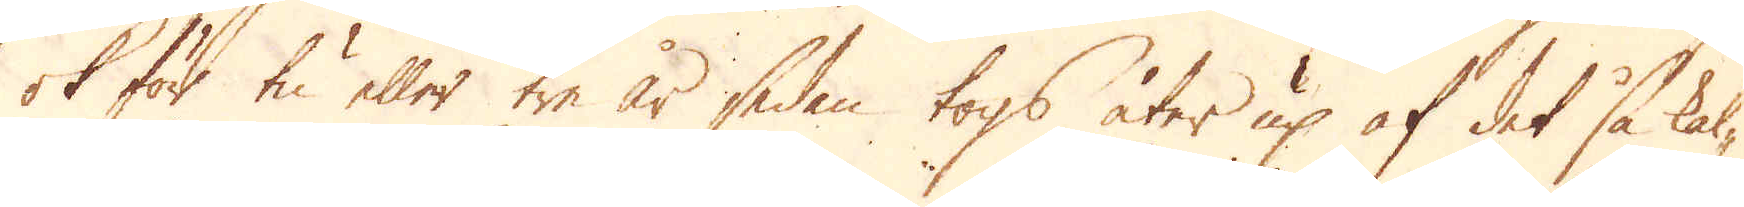ok för tu eller tre år sedan togs åter up af det så kal-
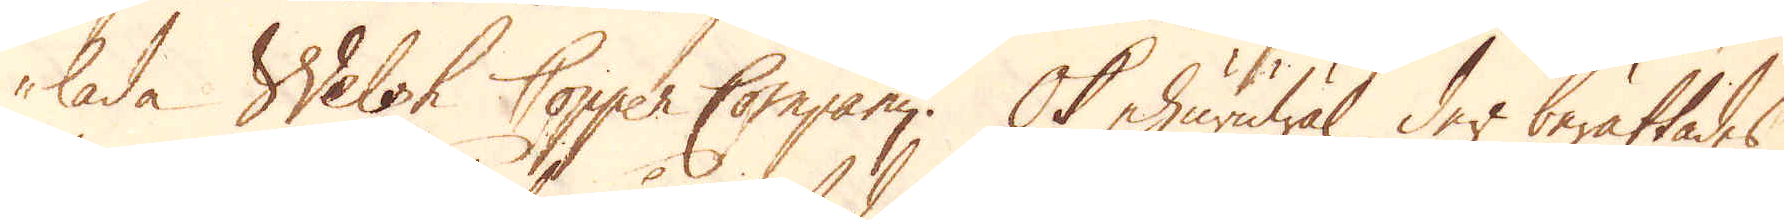lade Welsh Copper Company. Ok ehuruwäl der berättades
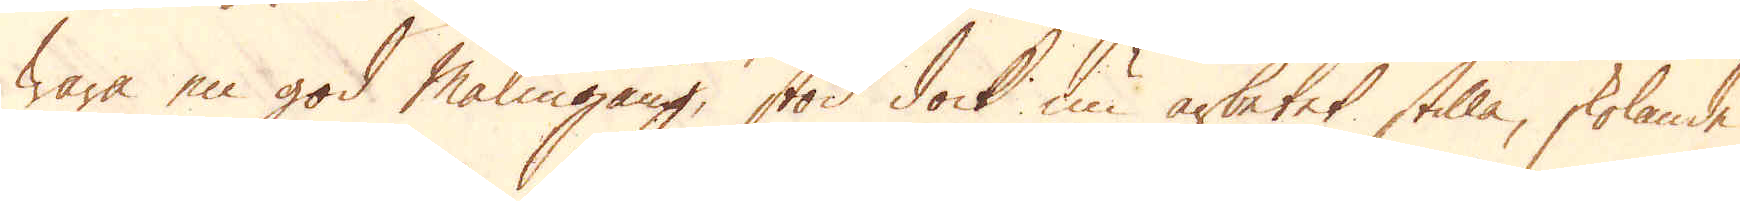wara en god Malmgång, stod dock nu arbetet stilla, skolande
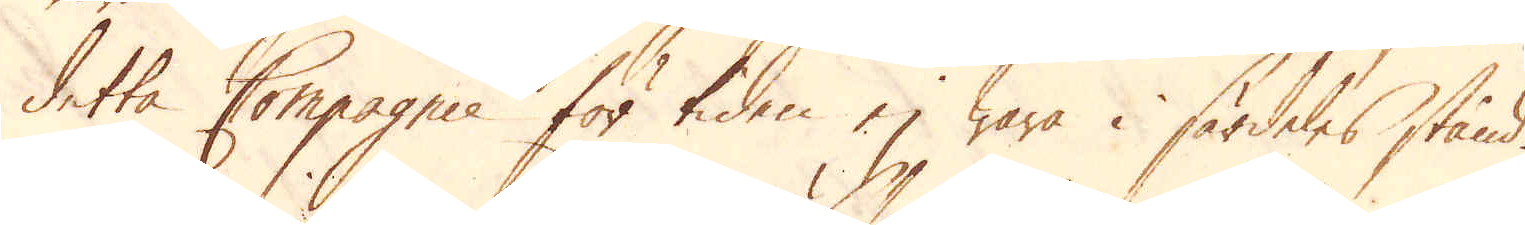detta Compagnie för tiden ej wara i särdeles stånd.
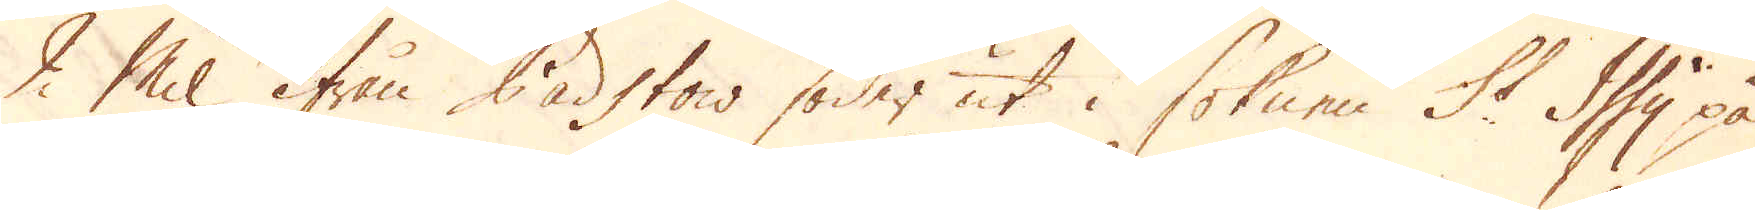2 Mil ifrån Padstow söder ut i soknen St Issy på
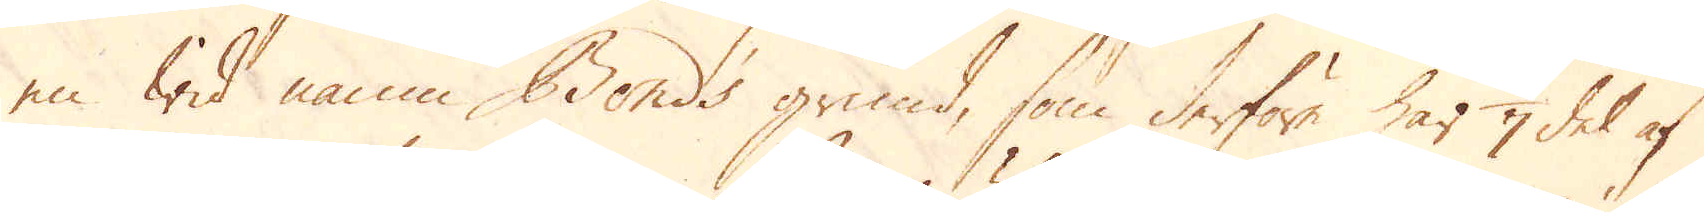en wid namn Bonds grund, som derföre har 1/7 del af
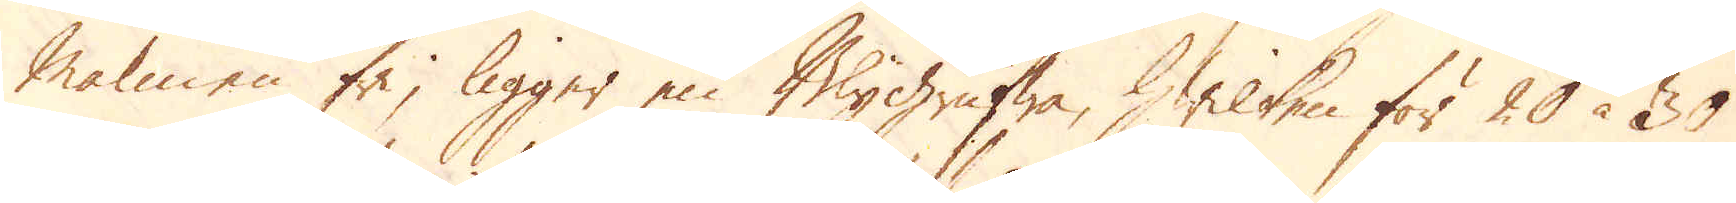Malmen fri, ligger en Blygrufwa, hwilken för 20 à 30
